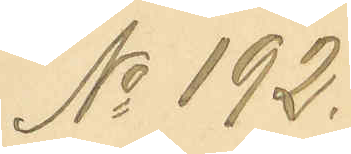No 192.
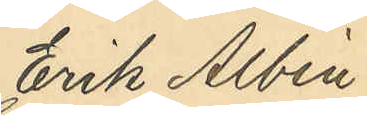Erik Albin
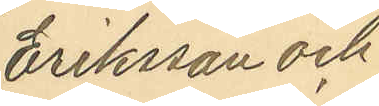Eriksson och
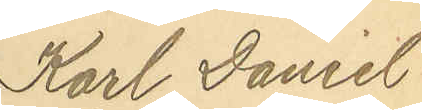Karl Daniel
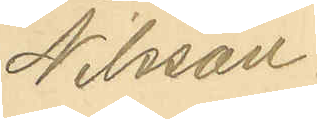Nilsson.
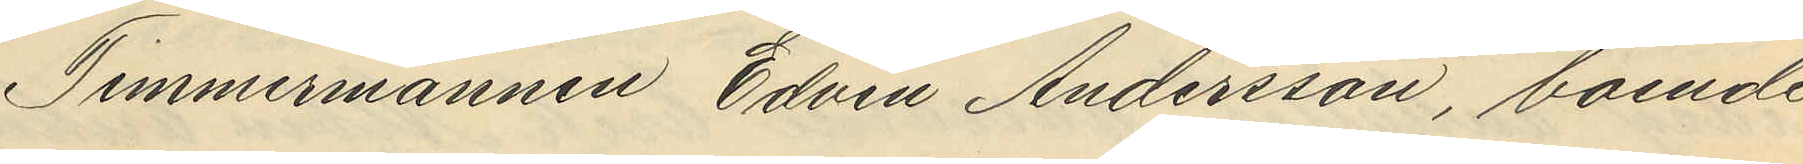Timmermannen Edvin Andersson, boende
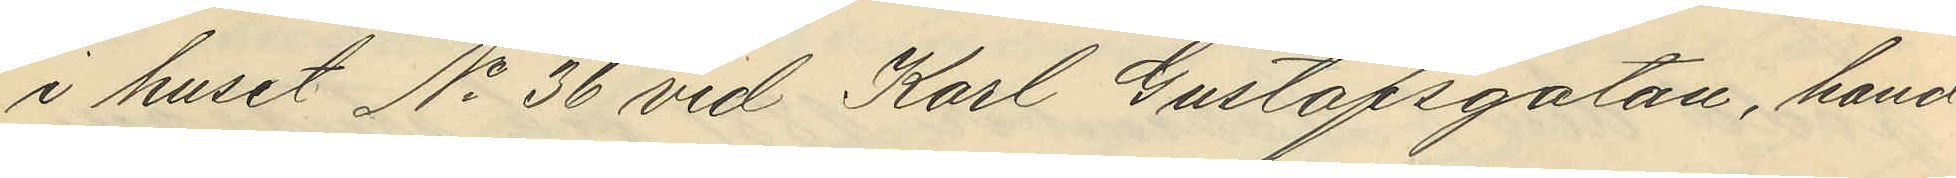i huset No 36 vid Karl Gustafsgatan, hand¬
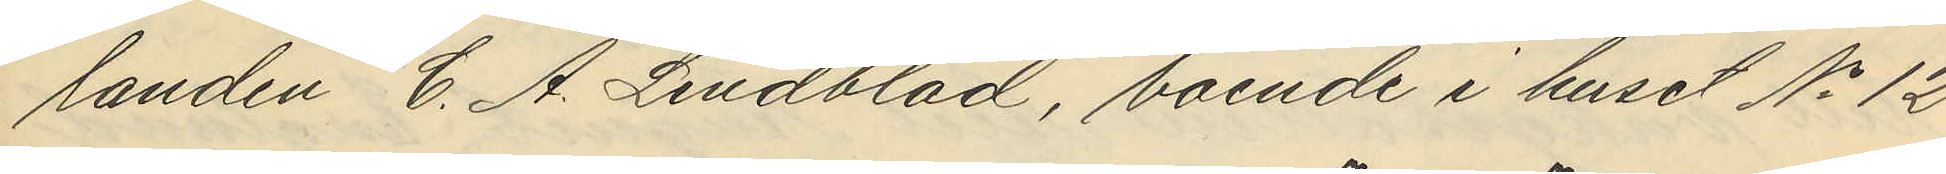landen C. A. Lindblad, boende i huset No 12
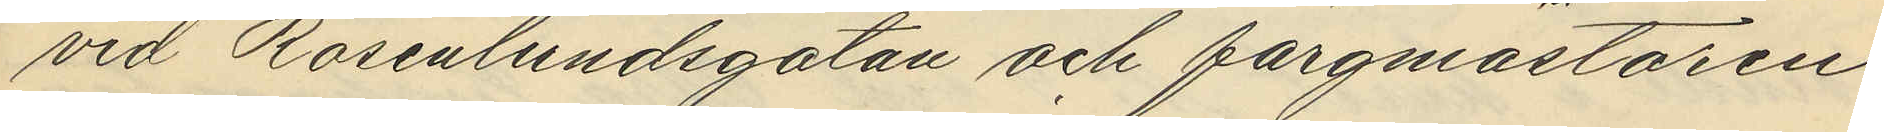vid Rosenlundsgatan och färgmästaren
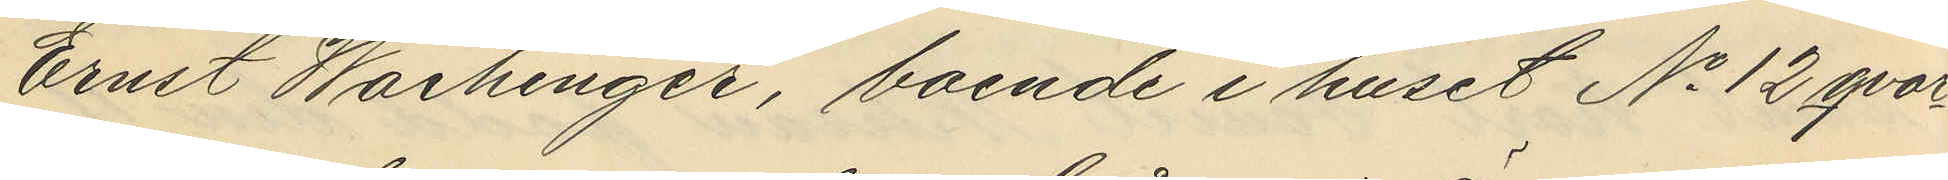Ernst Waihinger, boende i huset No 12 qvar¬
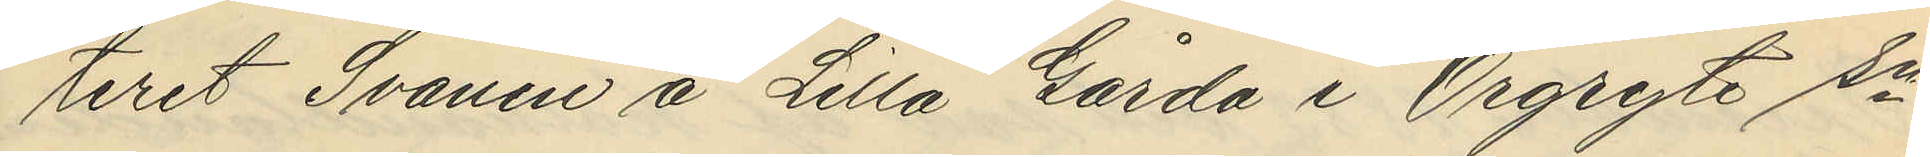teret Svanen å Lilla Gårda i Örgryte sn
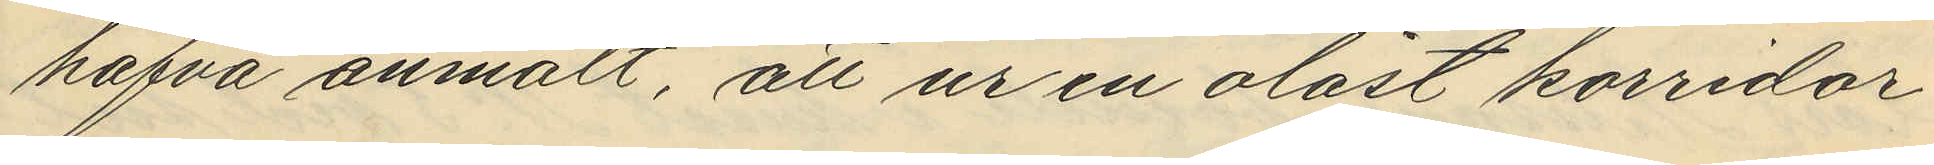hafva anmält, att ur en olåst korridor
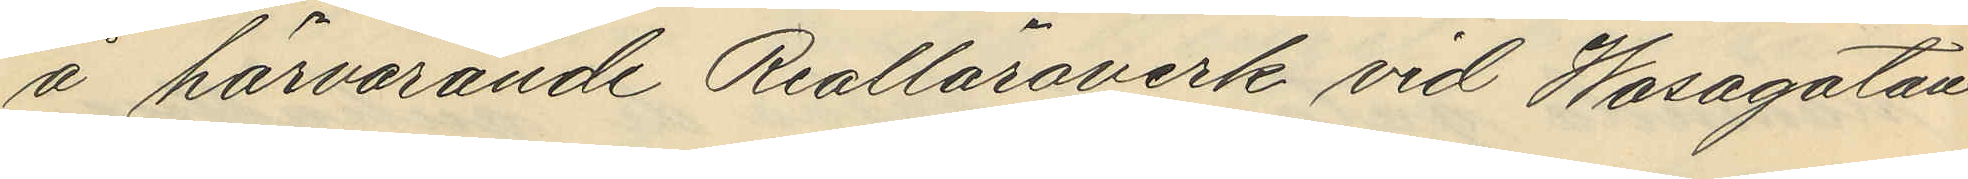å härvarande Realläroverk vid Wasagatan
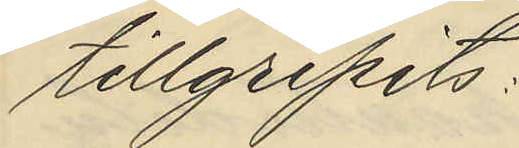tillgripits:
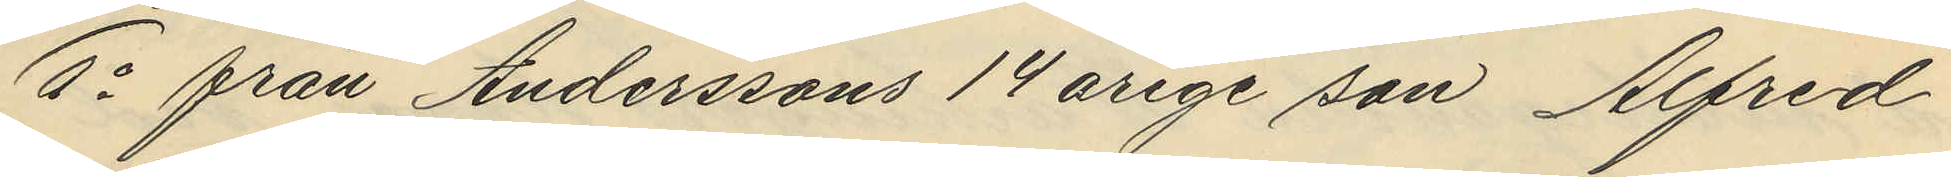1o från Anderssons 14 årige son Alfred
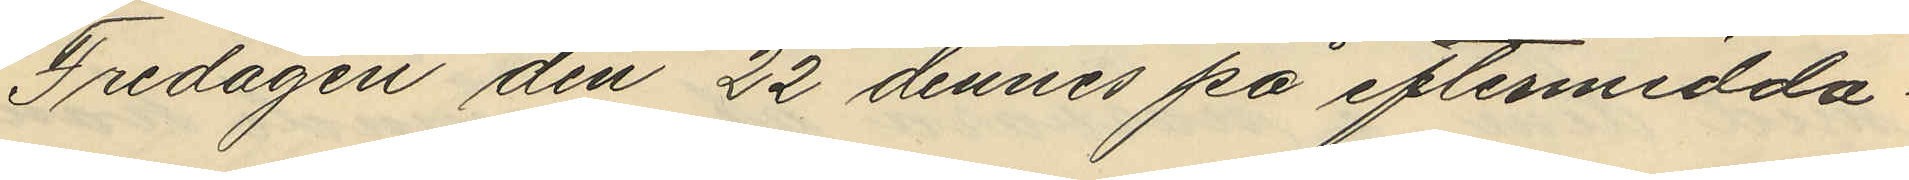Fredagen den 22 dennes på eftermidda
